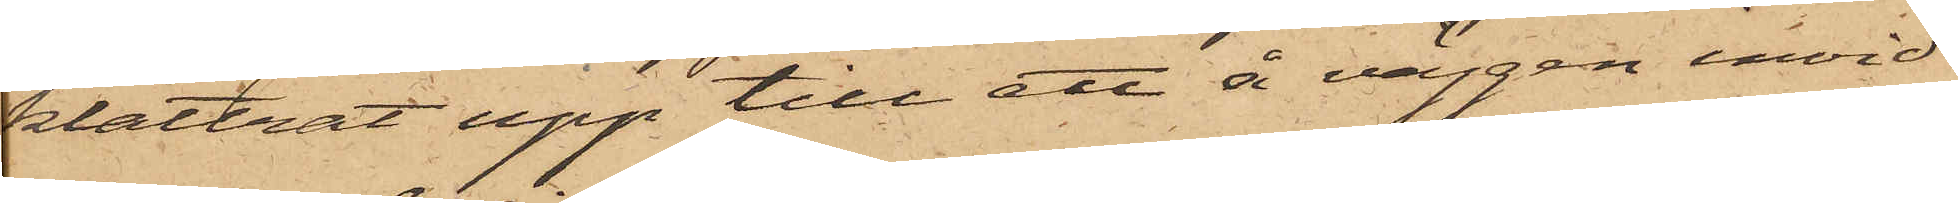klättrat upp till ett å väggen invid
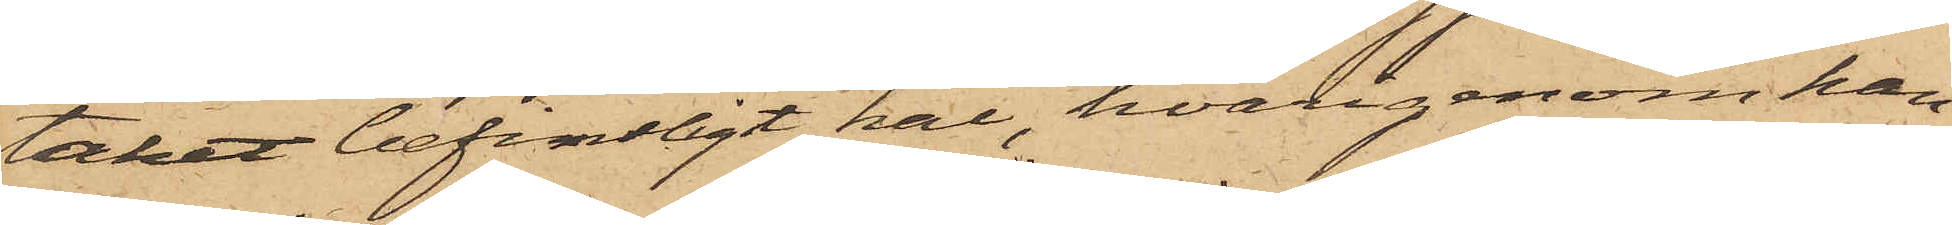taket befintligt hål, hvarigenom han
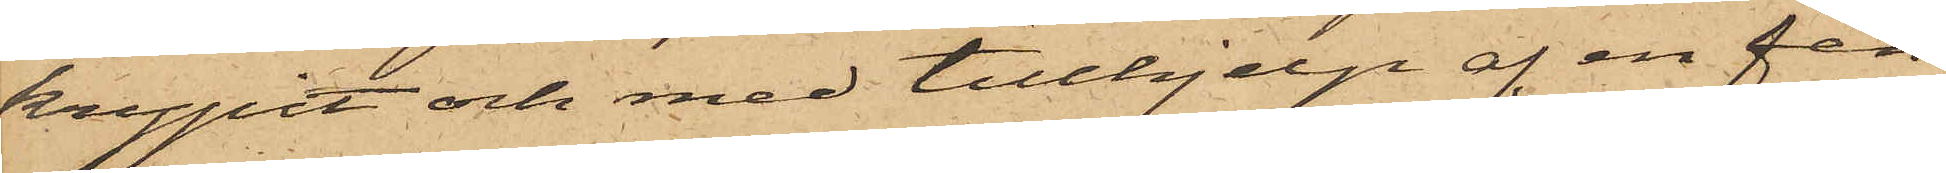krypit och med tillhjelp af en fen¬
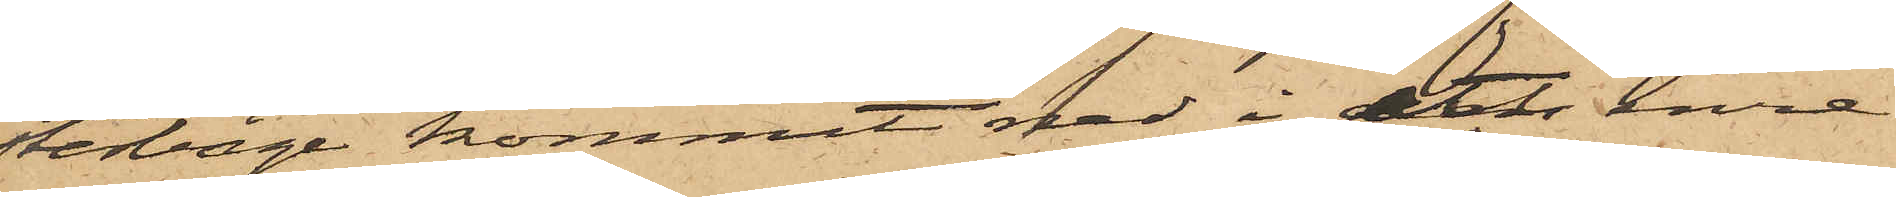sterbåge kommit ned i ett inre
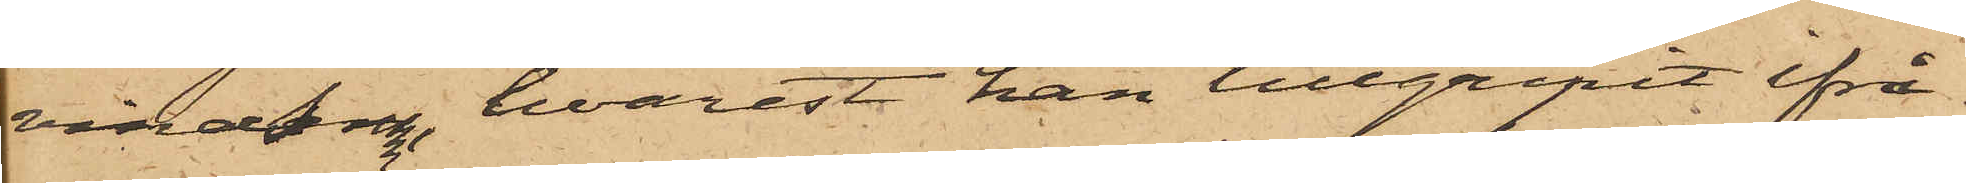vindsrum, hvarest han tillgripit ifrå¬
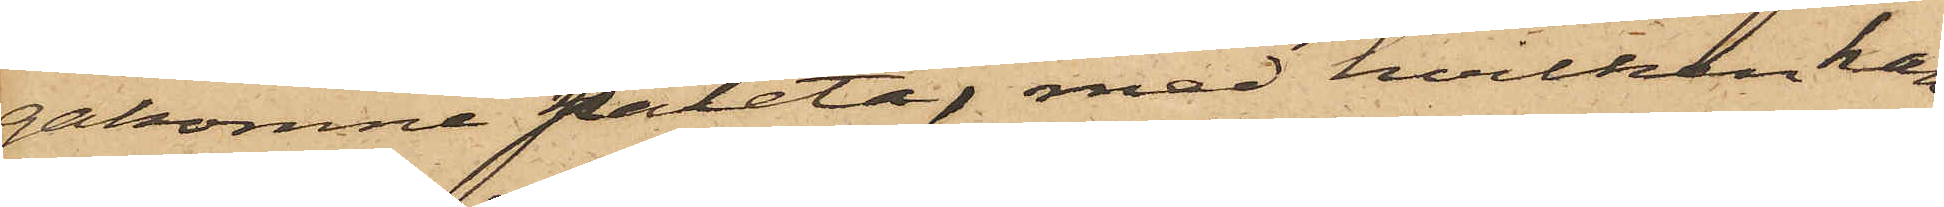gakomne paletå, med hvilken han
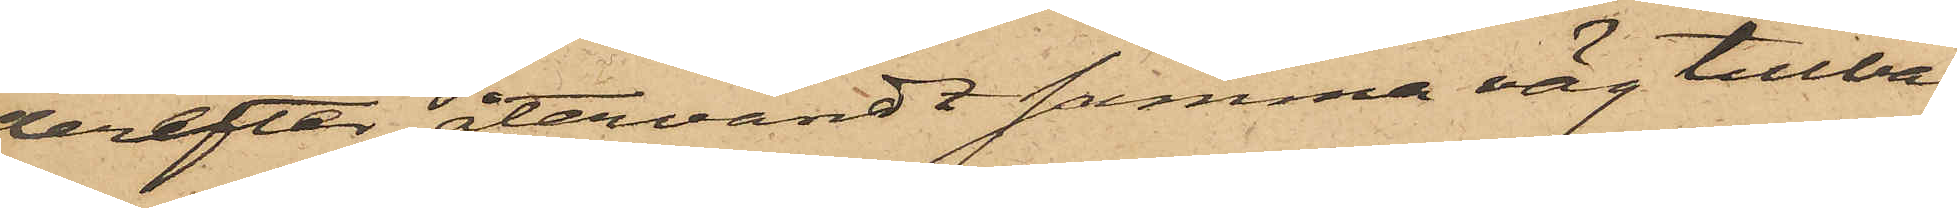derefter återvändt samma väg tillba¬
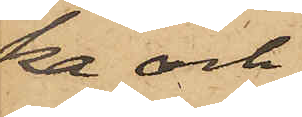ka och
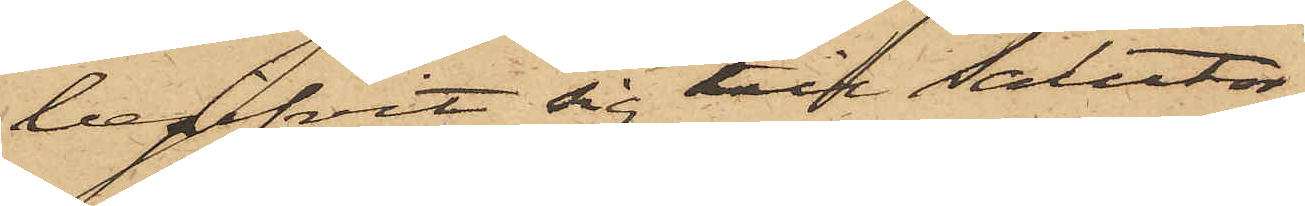begifvit sig till Salutor¬
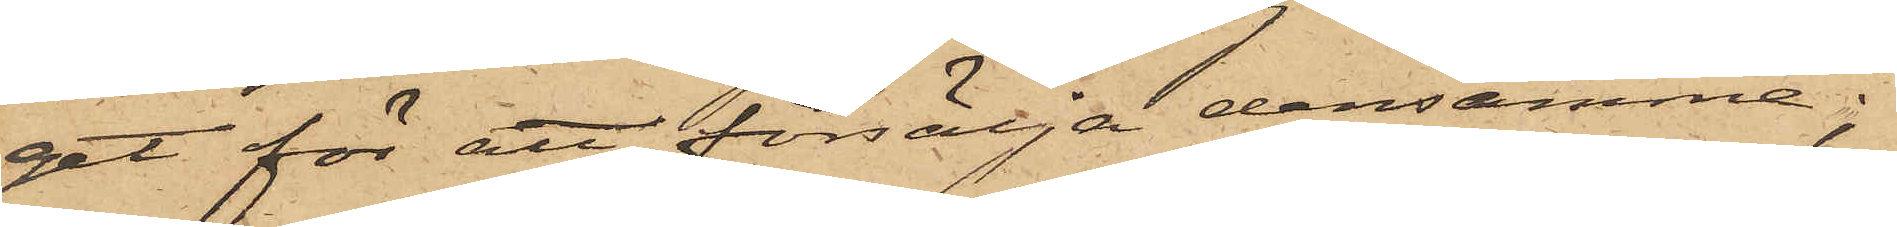get för att försälja densamma;
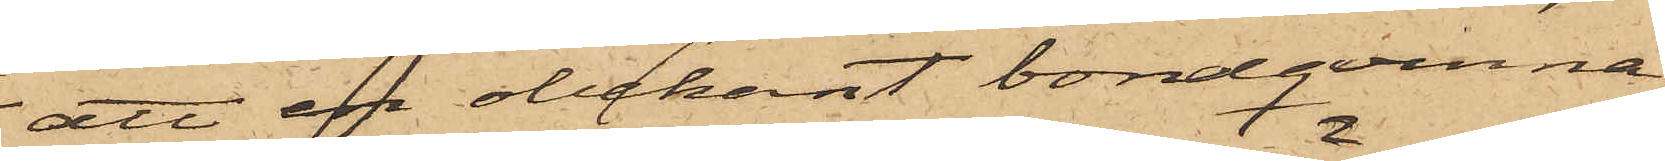att en obekant bondqvinna,
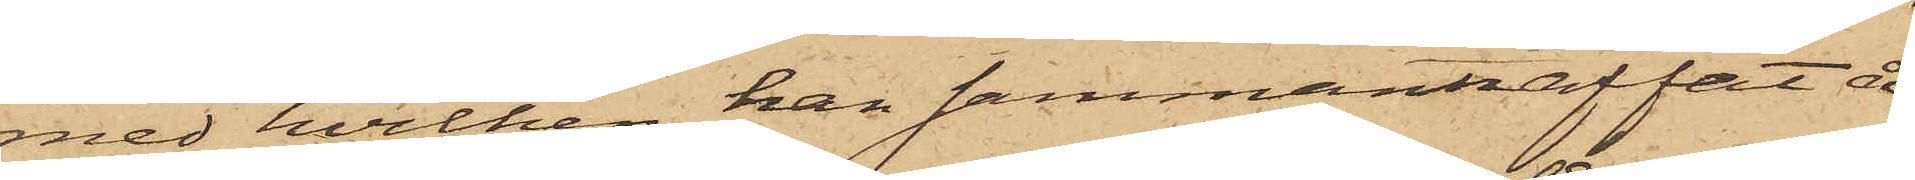med hvilken han sammanträffat å
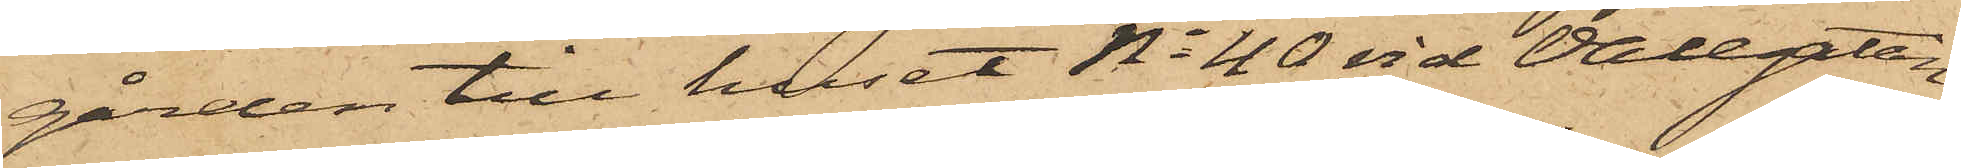gården till huset No 40 vid Vallgatan,
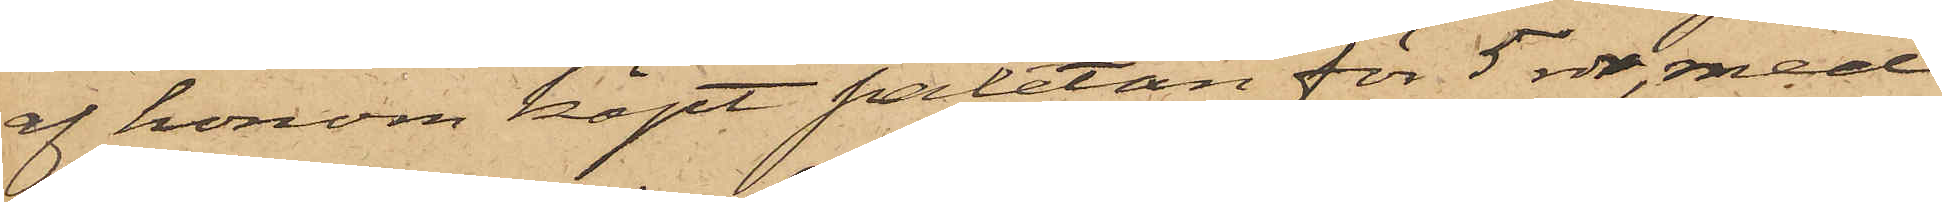af honom köpt paletån för 5 rdr, med
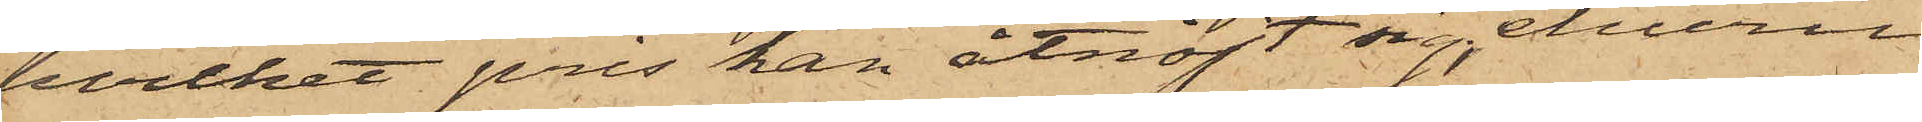hvilket pris han åtnöjt sig, ehuru
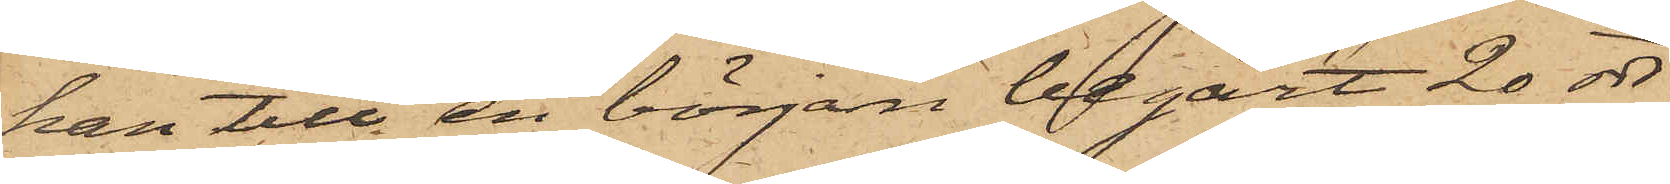han till en början begärt 20 rdr
